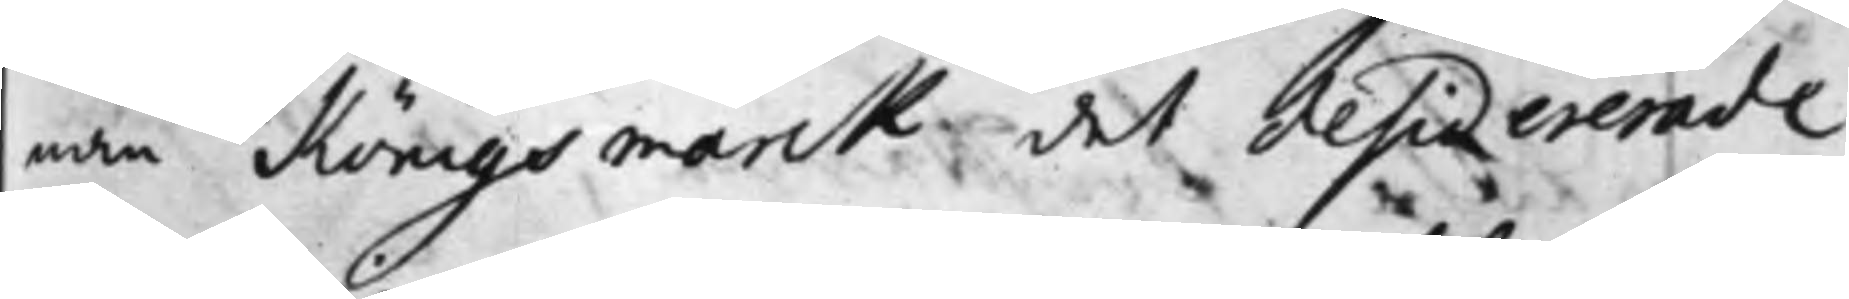nan Köningsmarck det desiderade
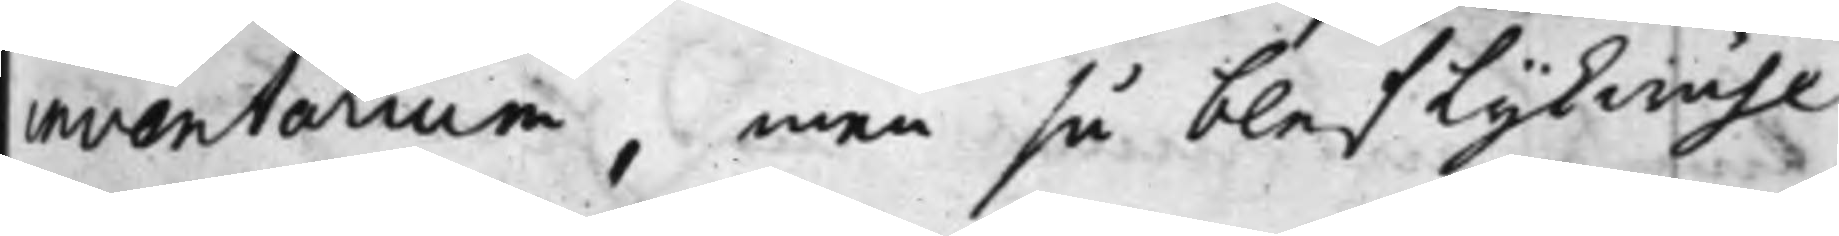inventarium, men så blef lijkwähl
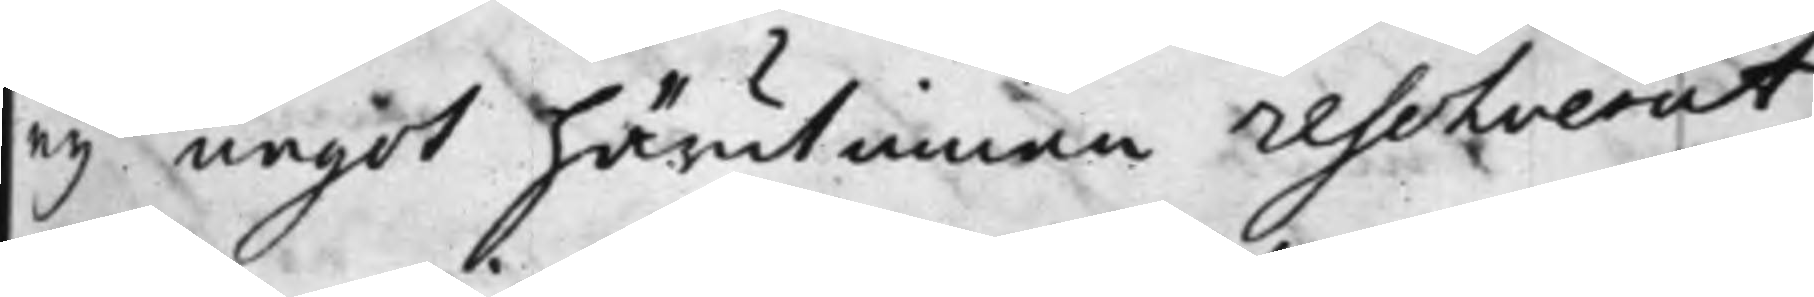ey något härutinnan Resolverat,
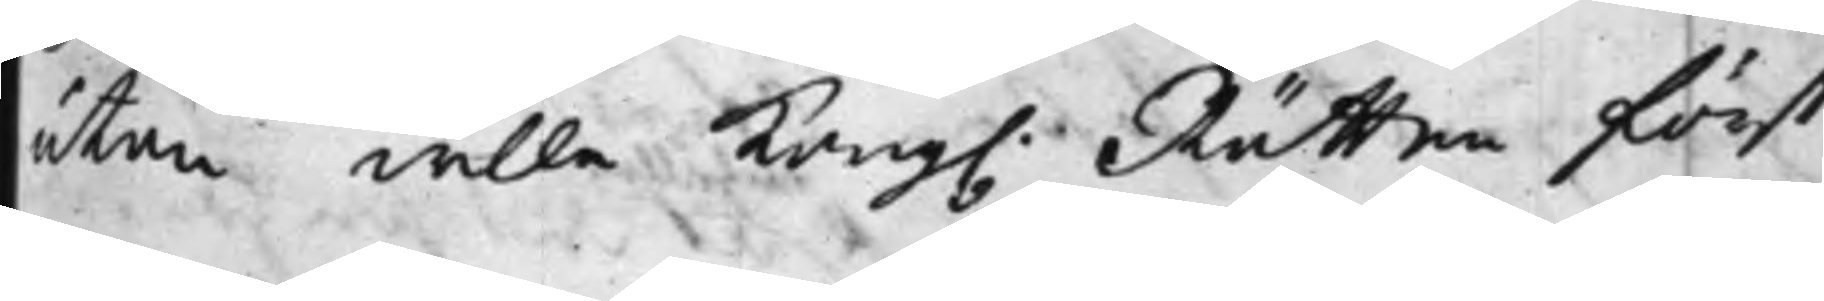utan wille Kong. Rätten först
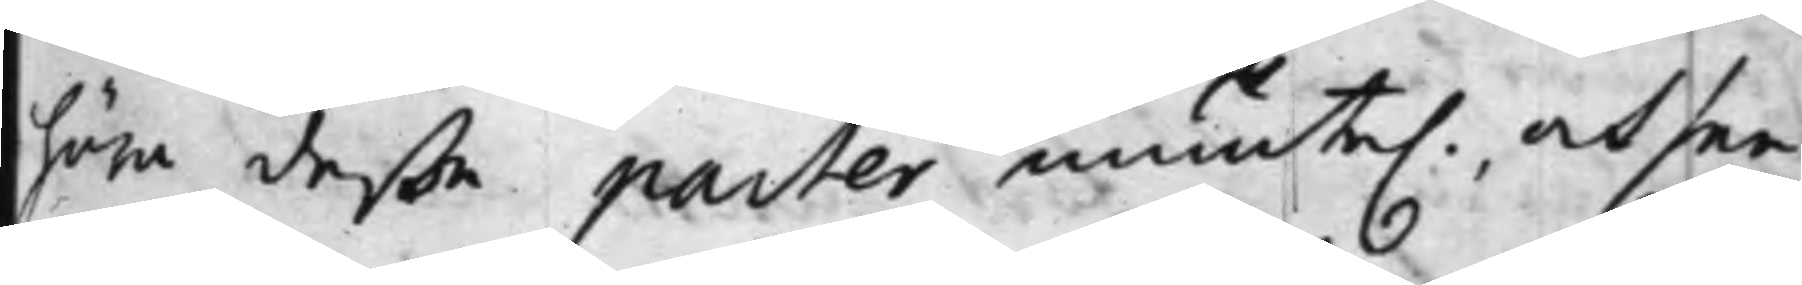höra deßa Parter munte., och see
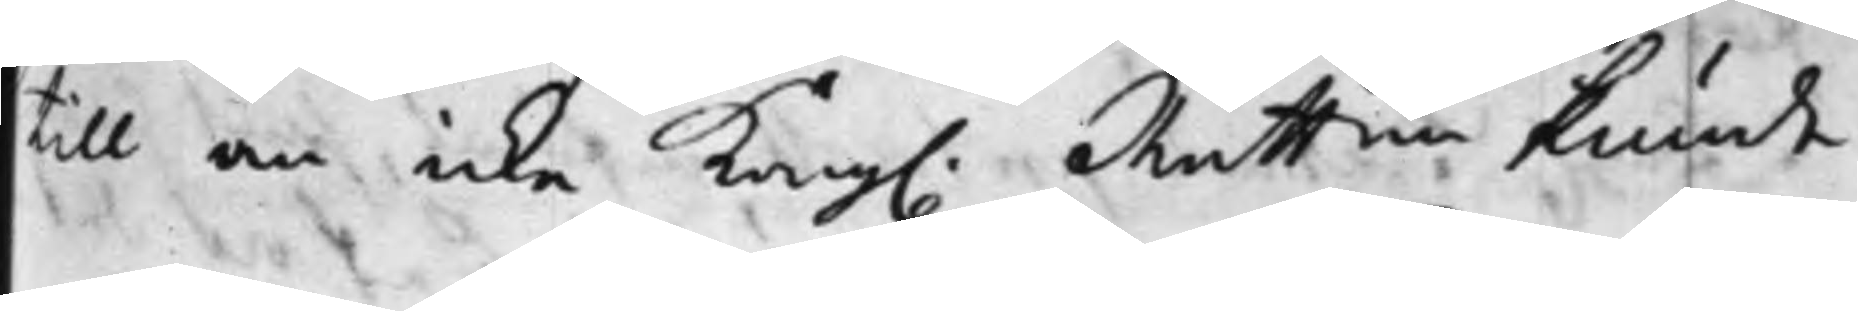till om icke Kong Rätten kunde
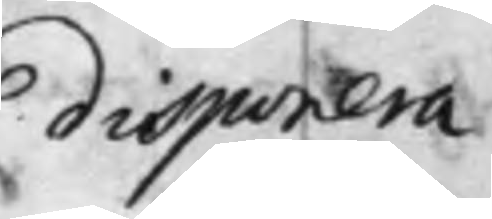disponera
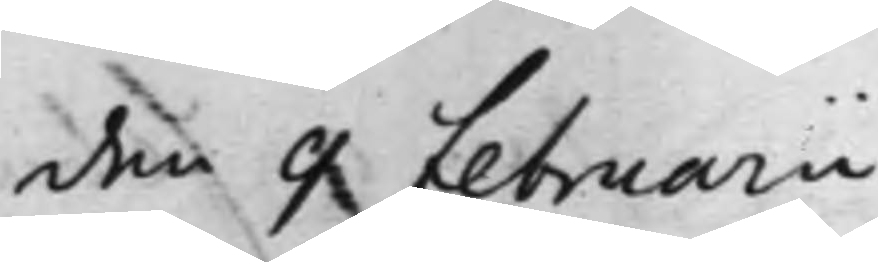den 9 Februarii
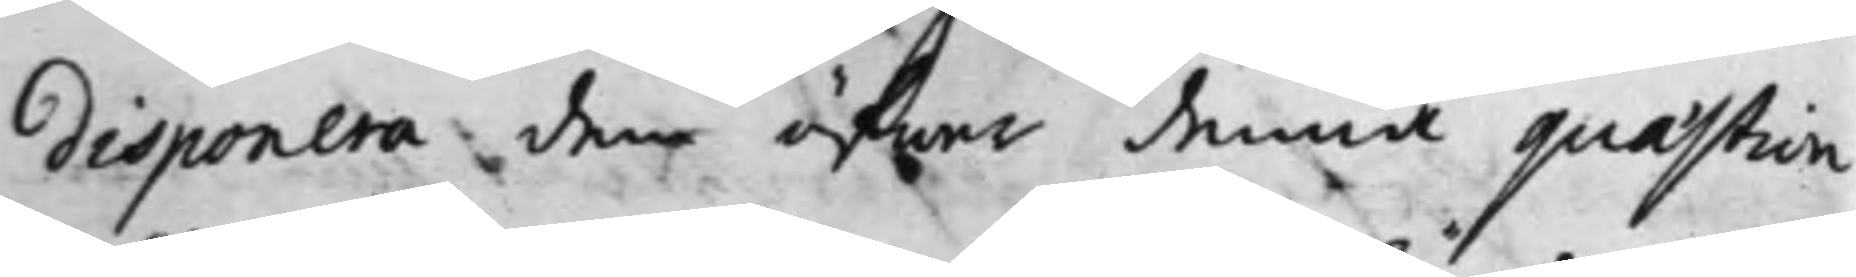disponera dem öfwer denna quastion
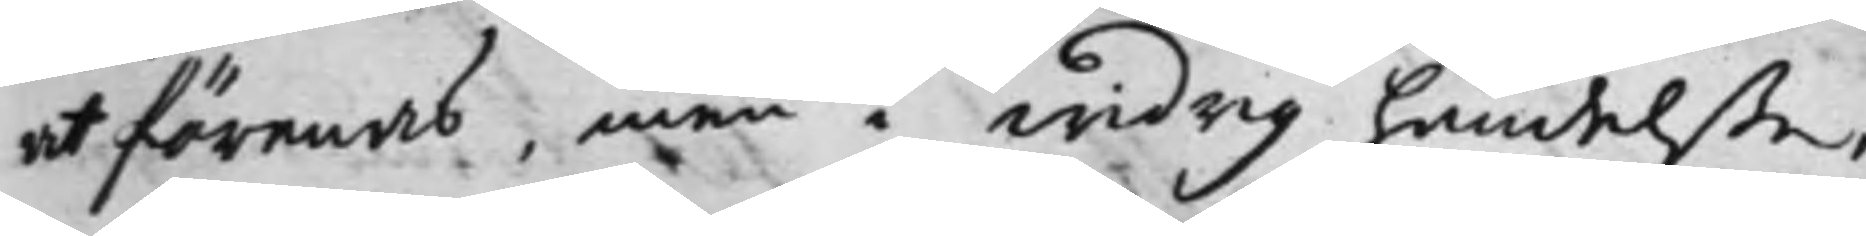at förenas, men i widrig händelße,
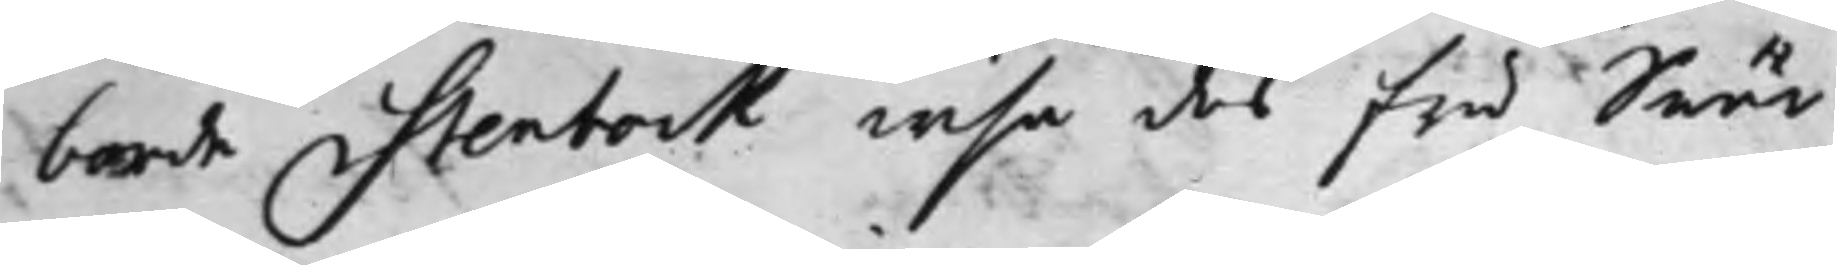borde Stenbock wisa des Fru Swär¬
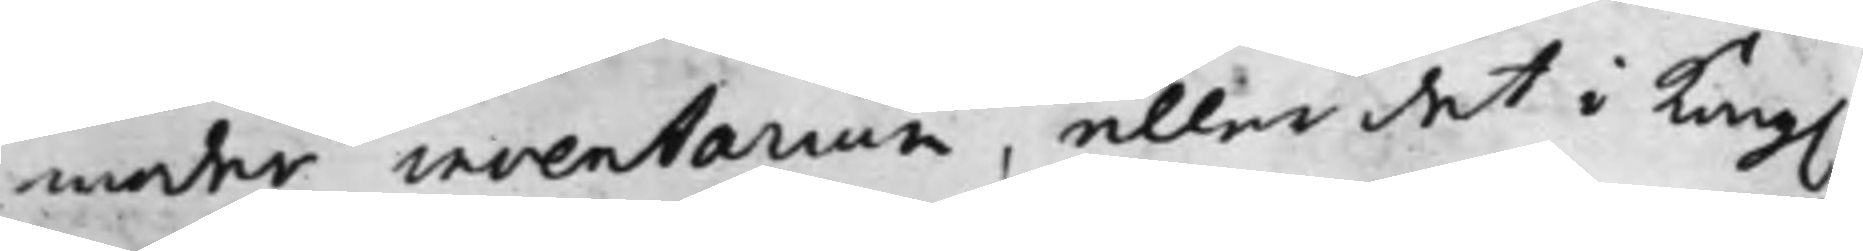moder inventarium, eller det i Kong.
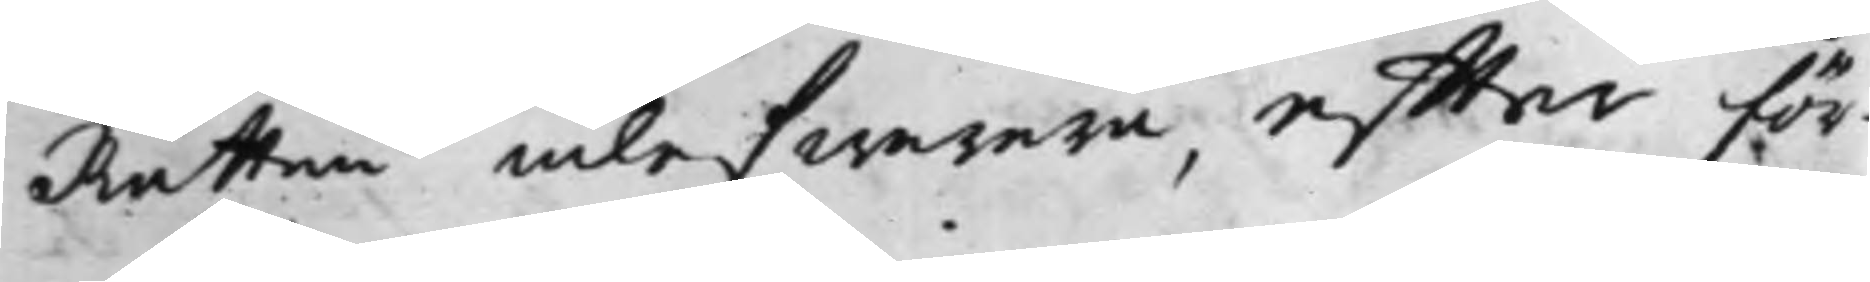Rätten inlefwerera, effter för¬
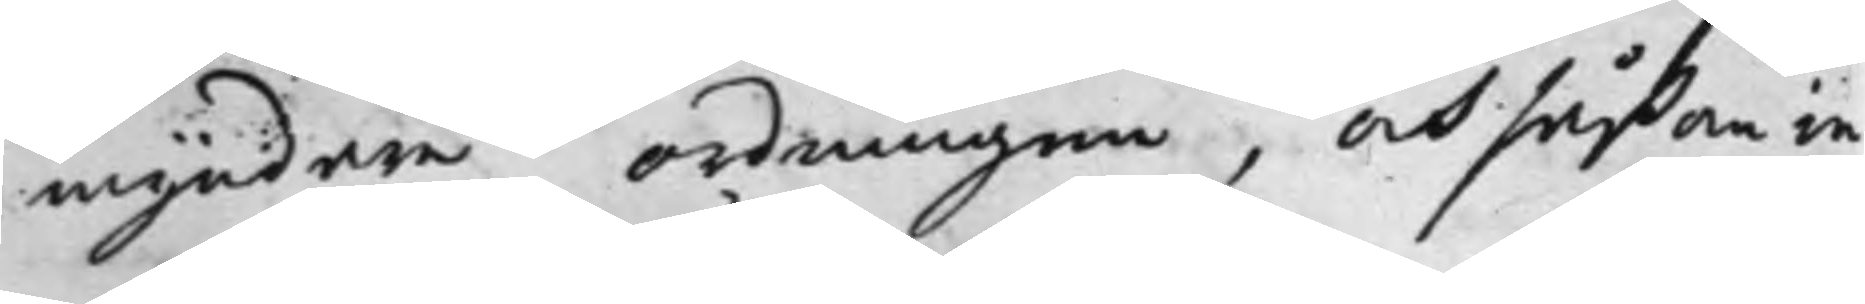myndare ordningen, och såßom in
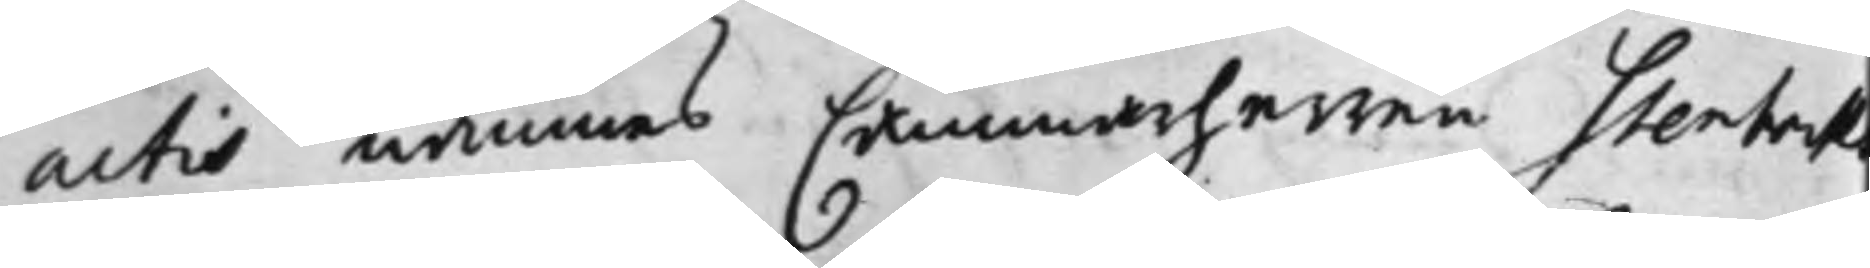actis nämnas Cammarherren Stenbock
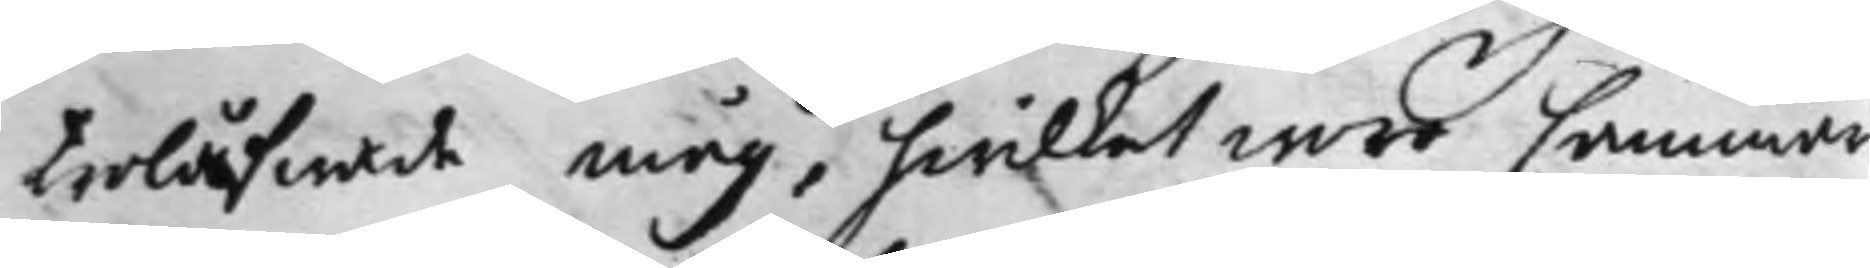Trolåfwade måg, hwilket woro Cammar¬
